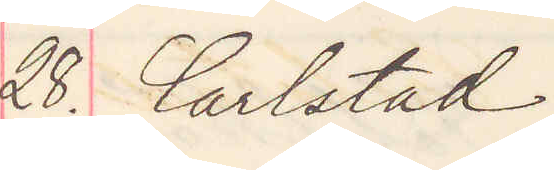28. Carlstad.
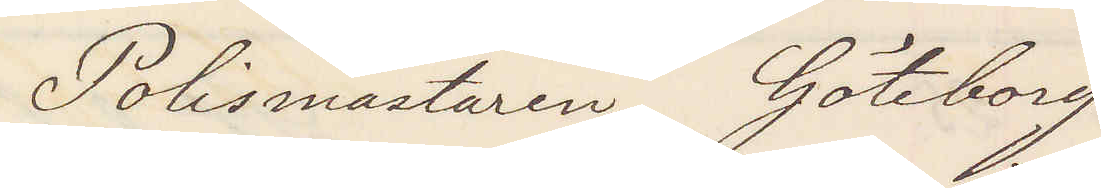Polismästaren Göteborg
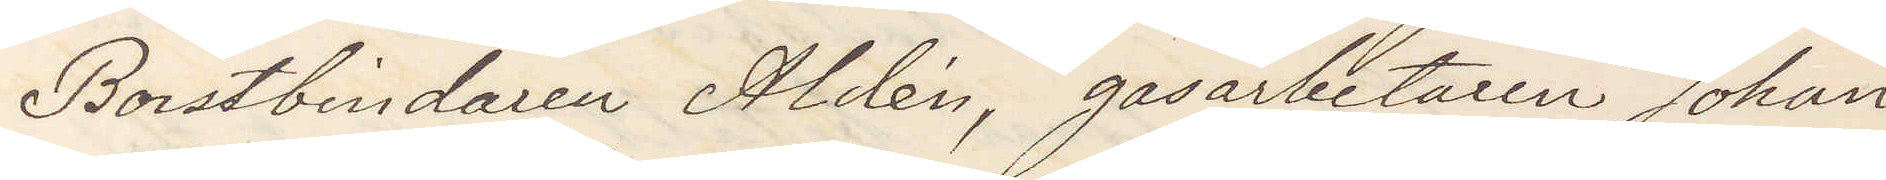Borstbindaren Aldén, gasarbetaren Johan
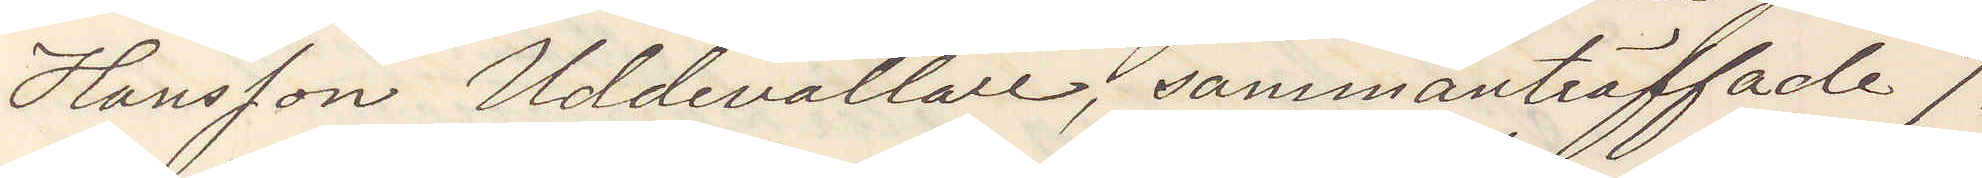Hansson Uddevallare, sammanträffade 7.
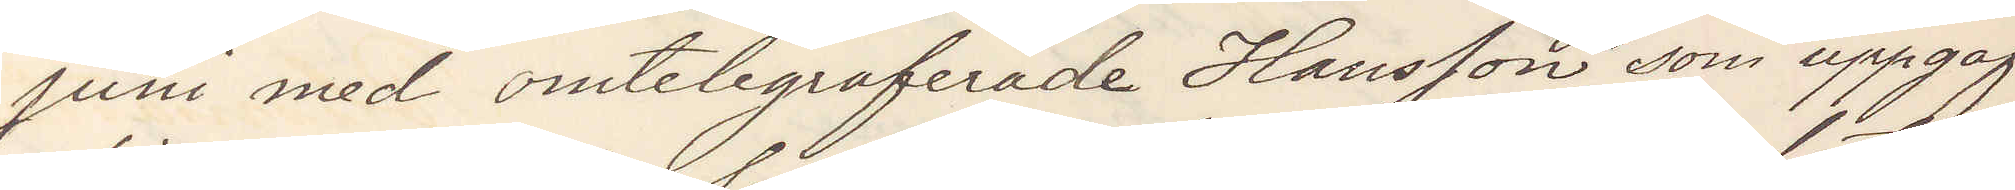juni med omtelegraferade Hansson, som uppgaf
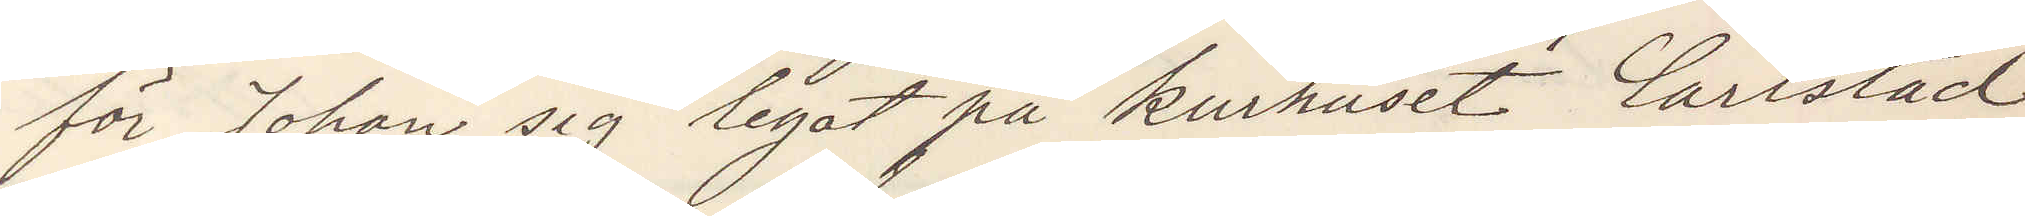för Johan sig legat på kurhuset Carlstad
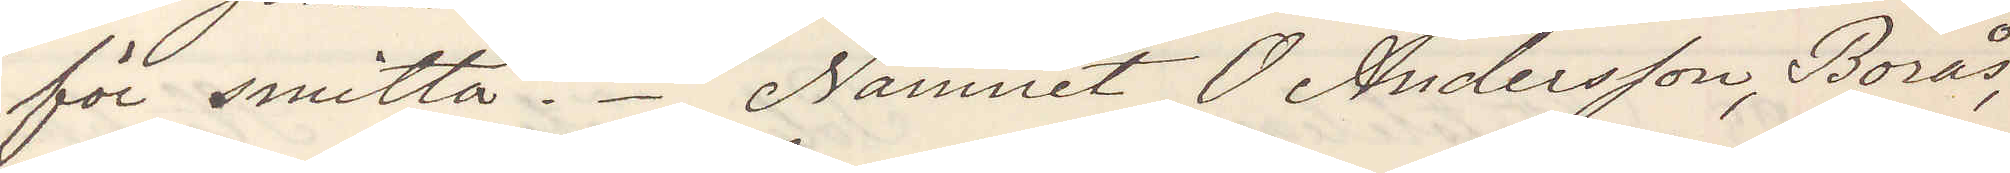för smitta. Namnet O Andersson, Borås,
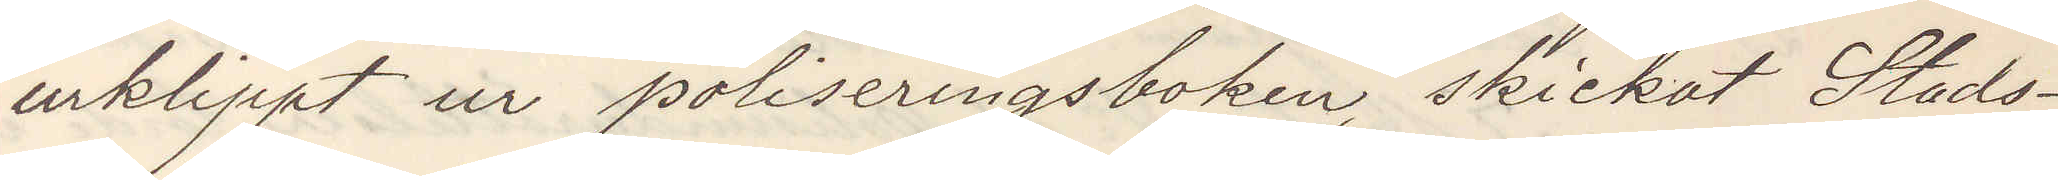urklippt ur poliseringsboken skickat Stads¬
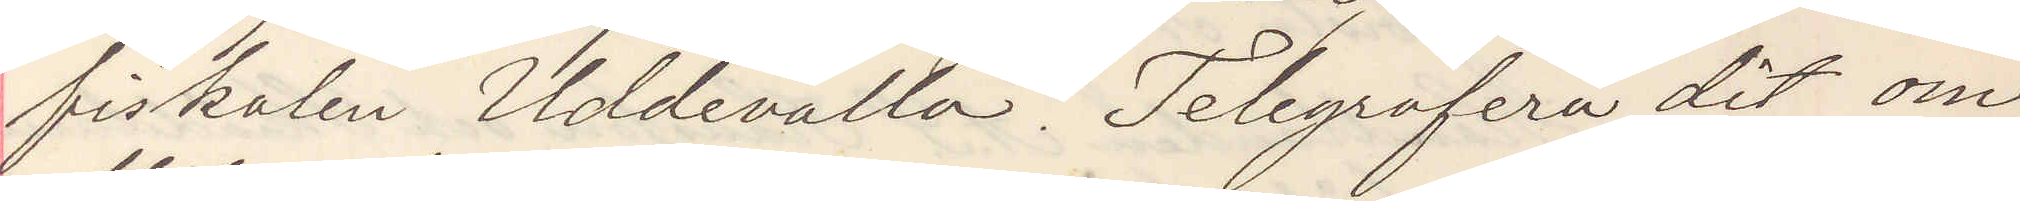fiskalen Uddevalla. Telegrafera dit om
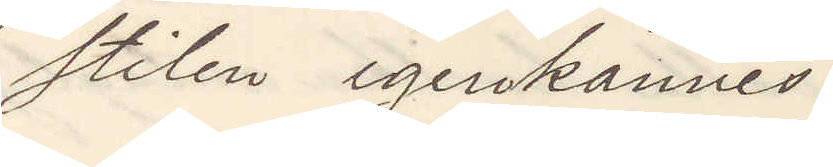stilen igenkännes.
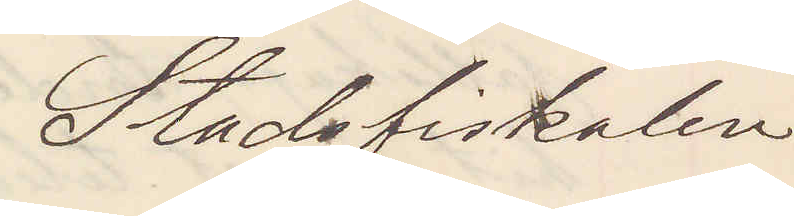Stadsfiskalen
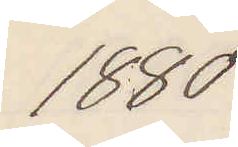1880
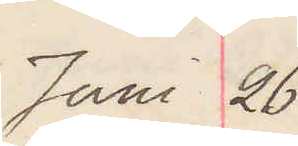Juni 26
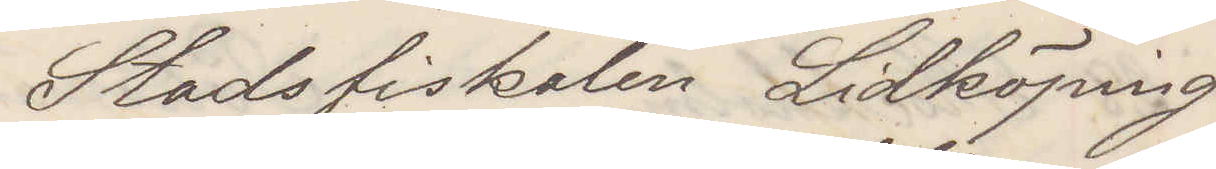Stadsfiskalen Lidköping
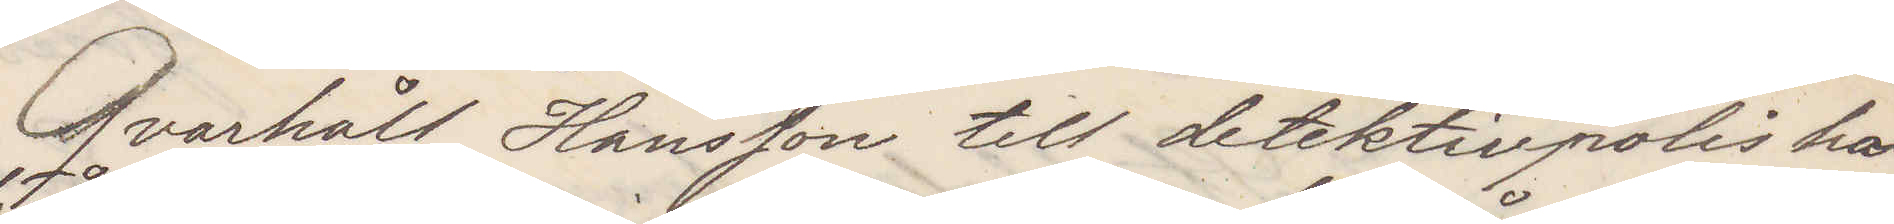Qvarhåll Hansson till detektivpolis här¬
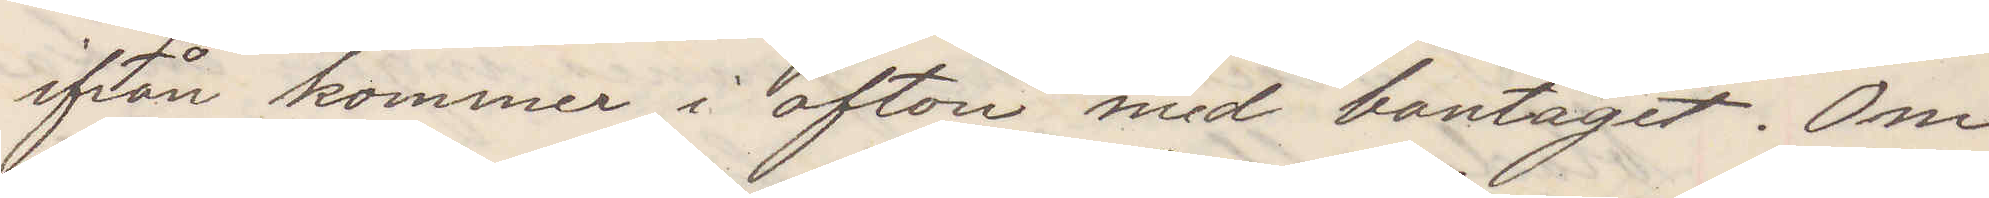ifrån kommer i afton med bantåget. Om
